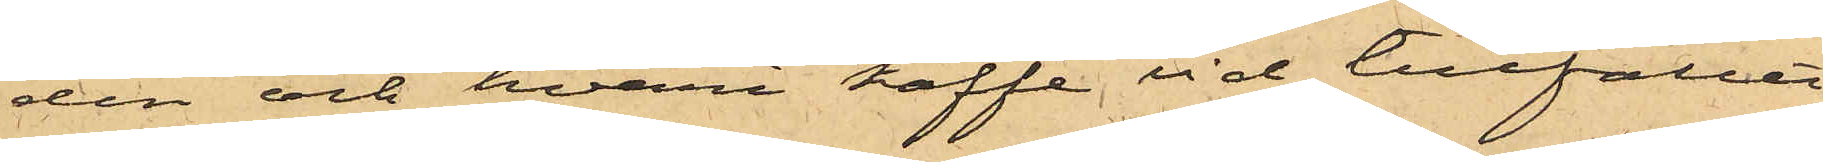den och hvari kaffe vid tillfället
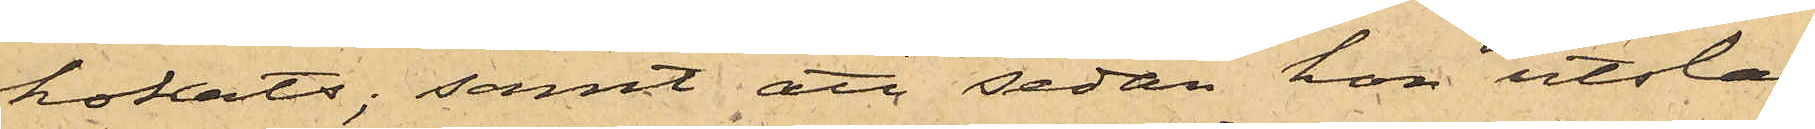kokats; samt att sedan hon utsla¬
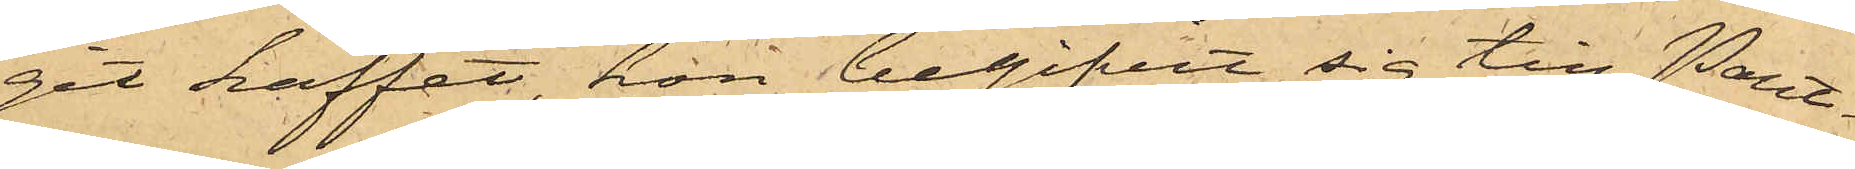git kaffet, hon begifvit sig till Pant¬
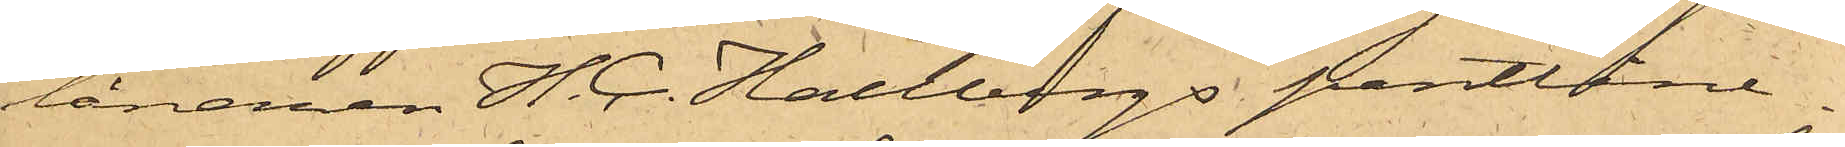lånaren H. C. Hallbergs pantlåne¬
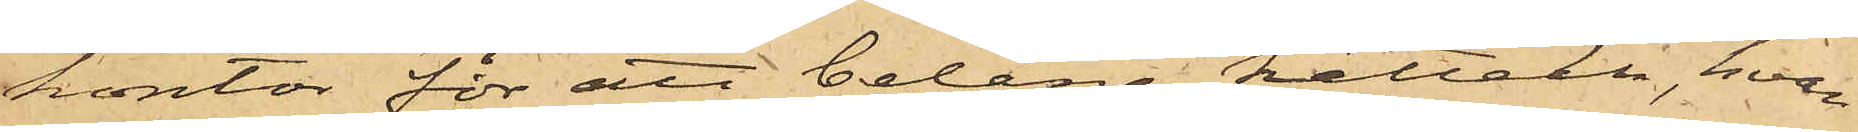kontor för att belåna kitteln, hvar¬
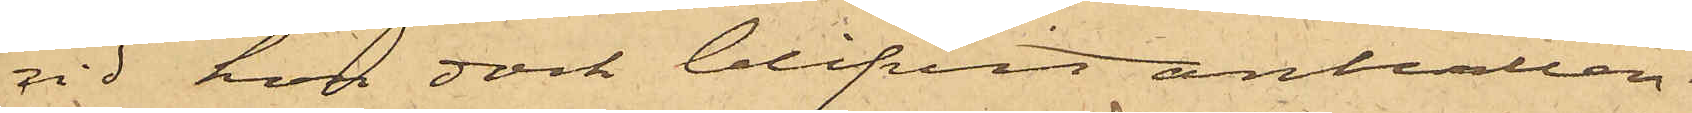vid hon dock blifvit anhållen.
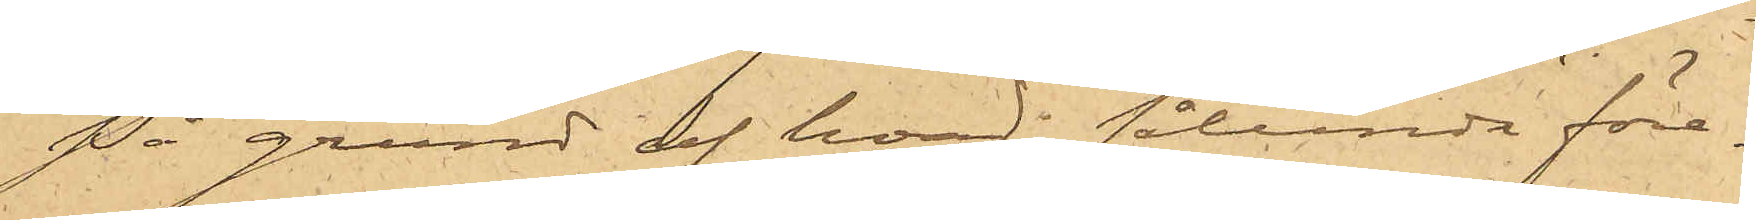På grund af hvad sålunda före¬
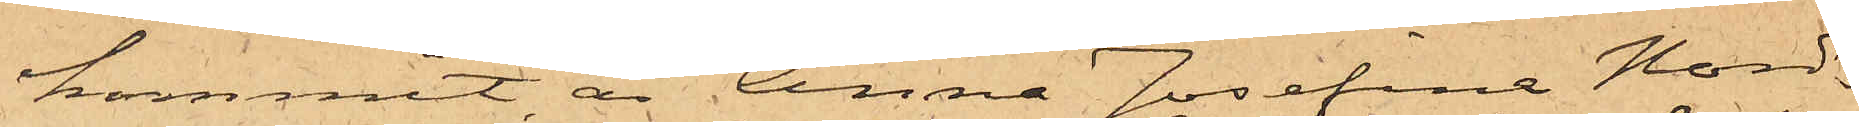kommit, är Anna Josefina Nord¬
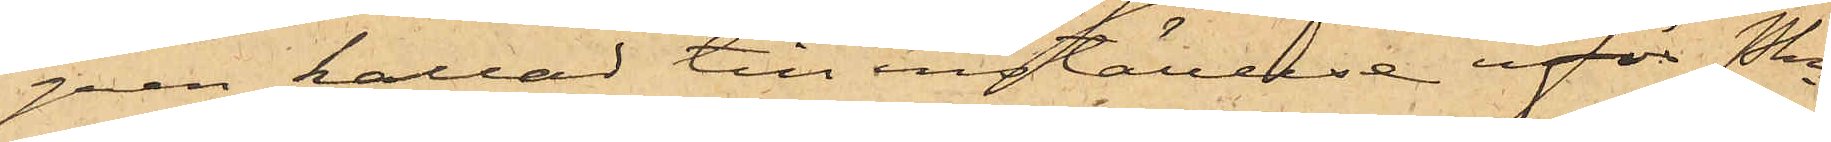gren kallad till inställelse inför Pkn
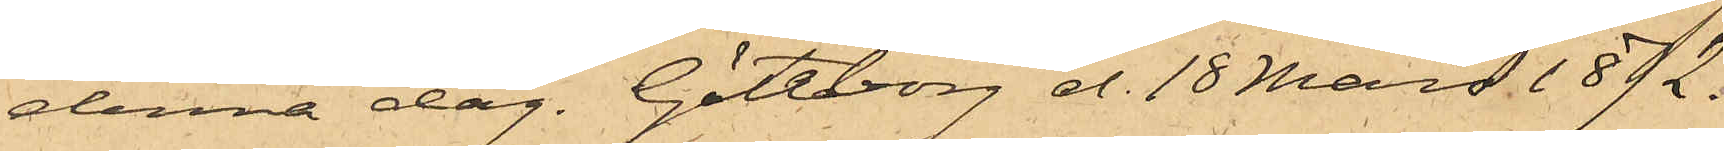denna dag. Göteborg d. 18 Mars 1872.
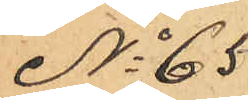No 65
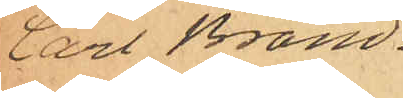Carl Brand¬
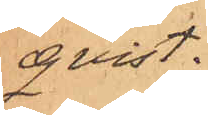qvist.
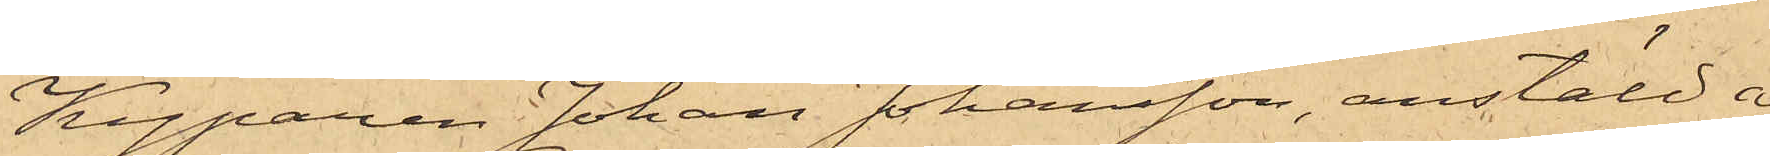Kyparen Johan Johansson, anstäld å
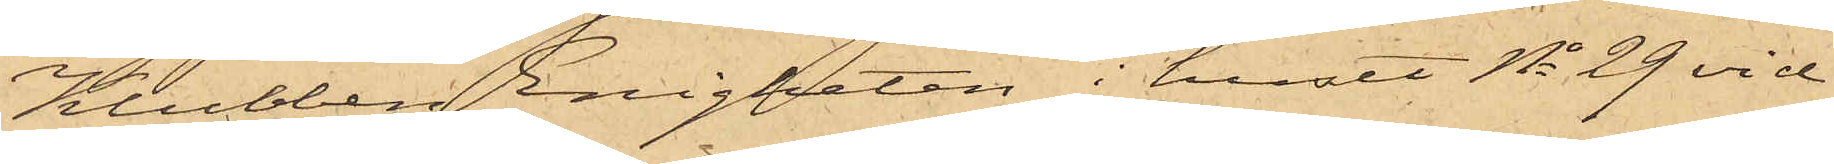Klubben Enigheten i huset No 29 vid
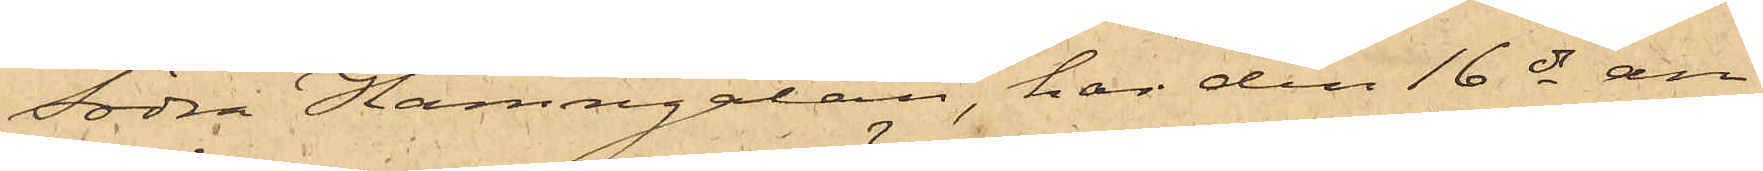Södra Hamngatan, har den 16 ds an¬
